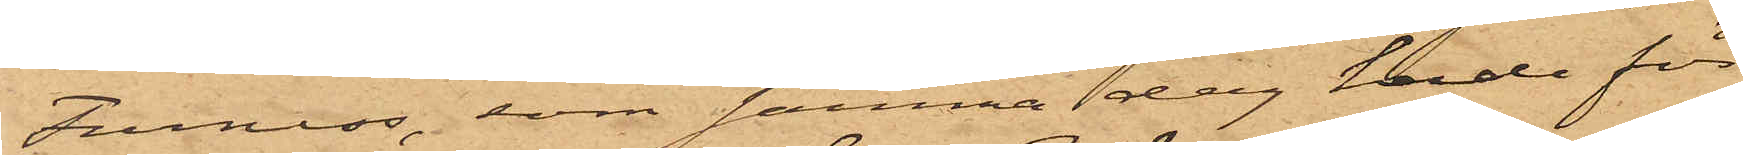Furness, som samma dag hade för
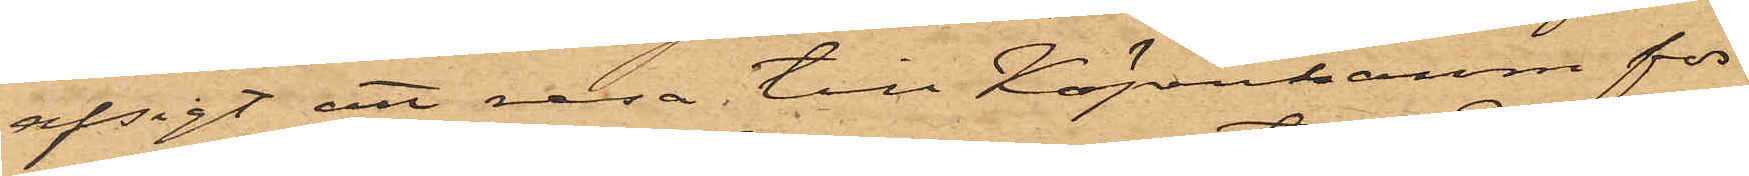afsigt att resa till Köpenhamn för
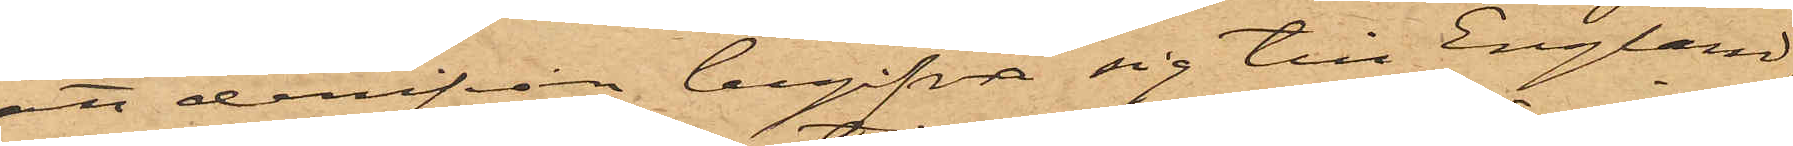att derifrån begifva sig till England,
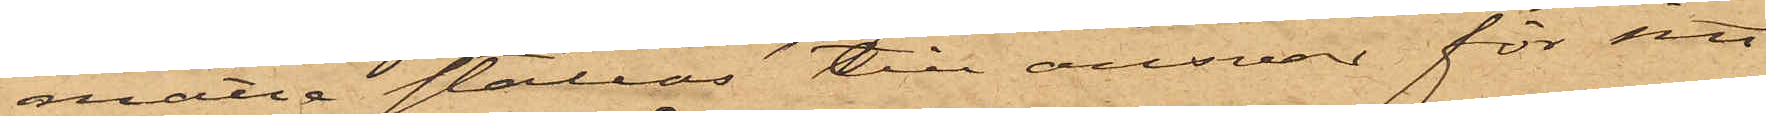måtte ställas till ansvar för sitt
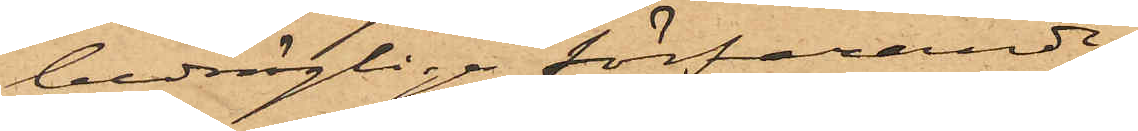bedrägliga förfarande.
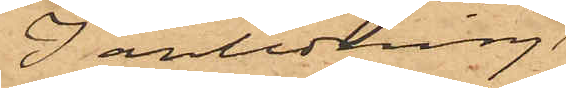I anledning
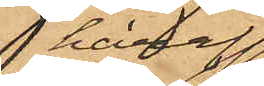häraf
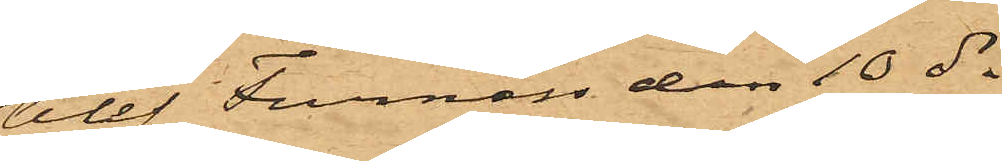blef Furness den 10 ds
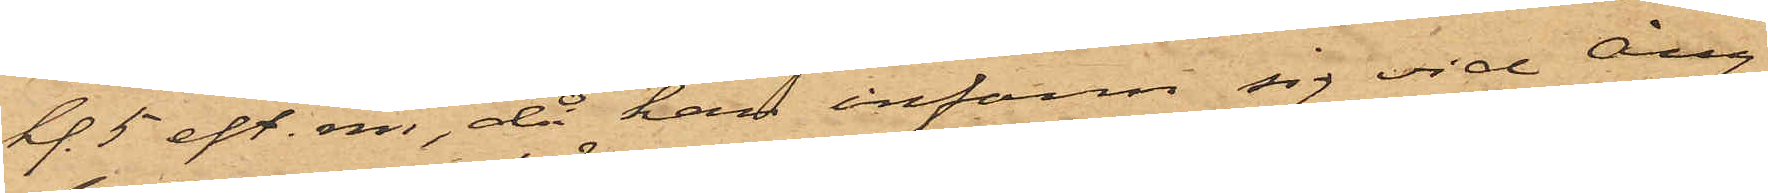kl. 5 eft.m., då han infann sig vid Ång¬
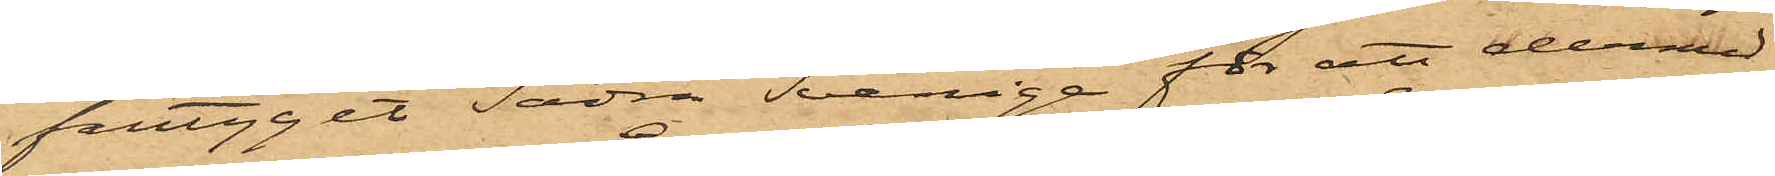fartyget Södra Sverige för att dermed
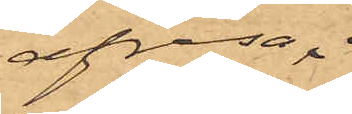afresa
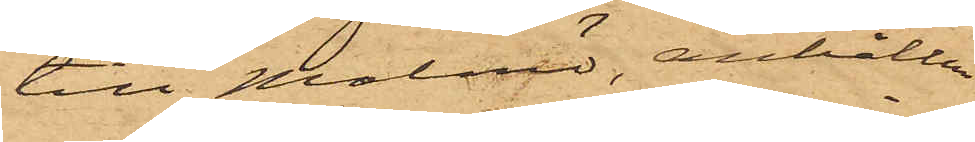till Malmö, anhållen
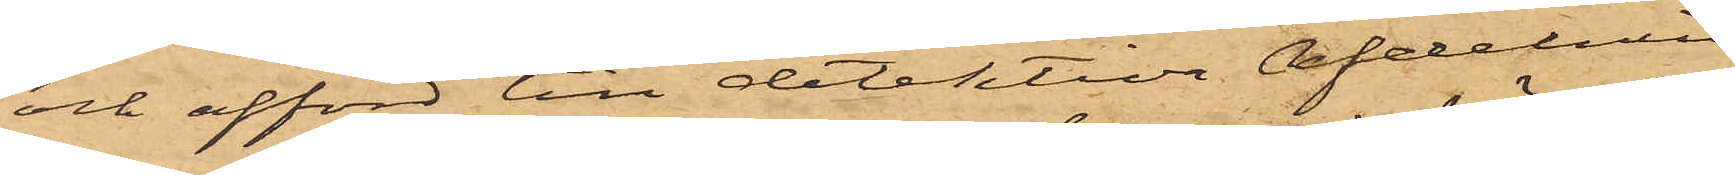och afförd till detektiva afdelnin¬
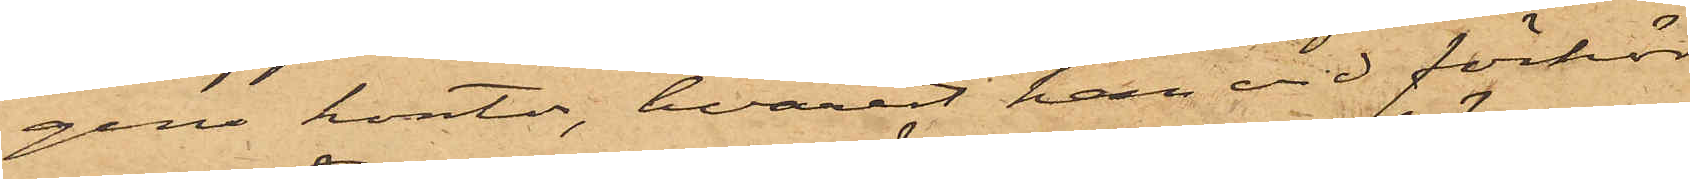gens kontor, hvarest han vid förhör
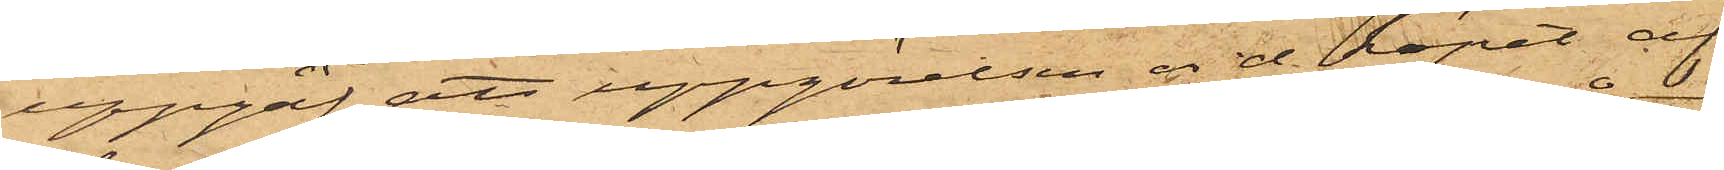uppgaf att uppgörelsen vid köpet af
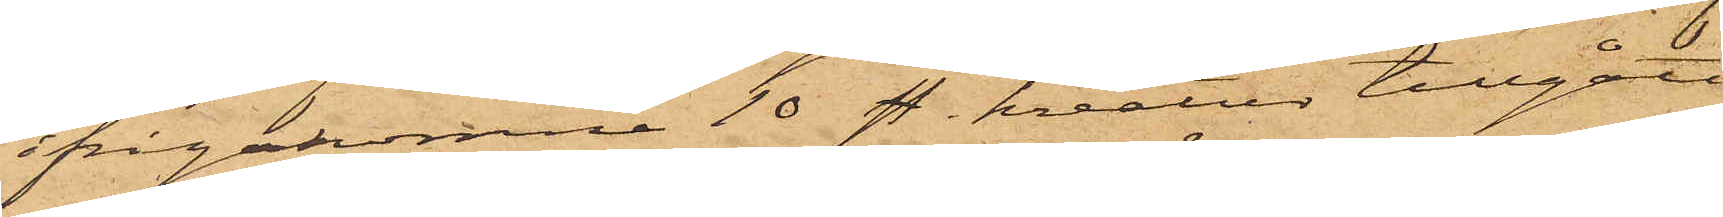ifrågakomne 10 sty. kreatur tillgått
